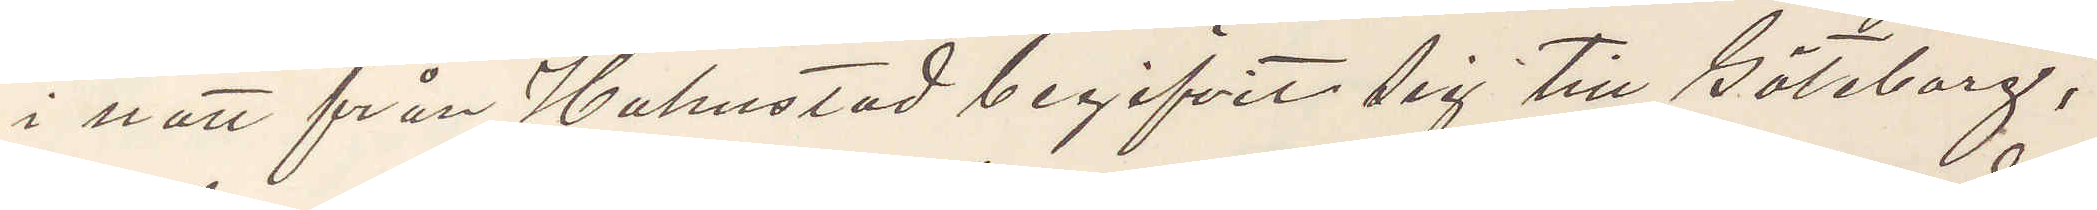i natt från Halmstad begifvit sig till Göteborg,
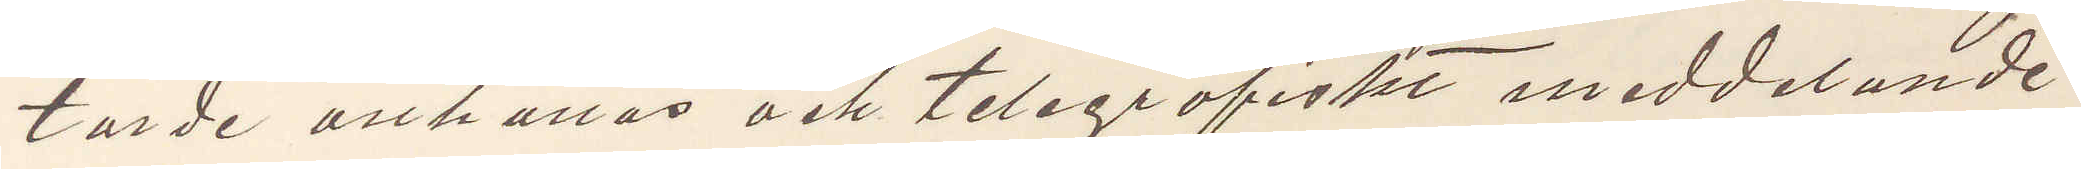torde anhållas och telegrafiskt meddelande
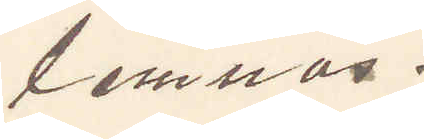lemnas.
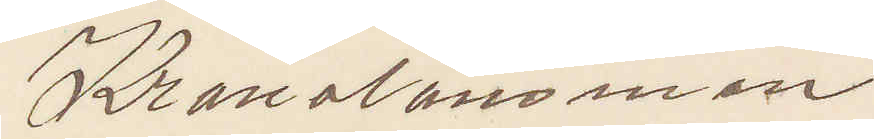Kronolänsman
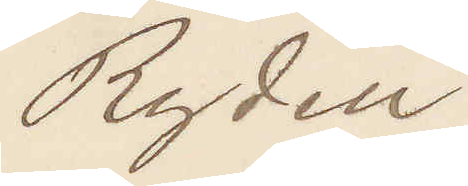Rydell
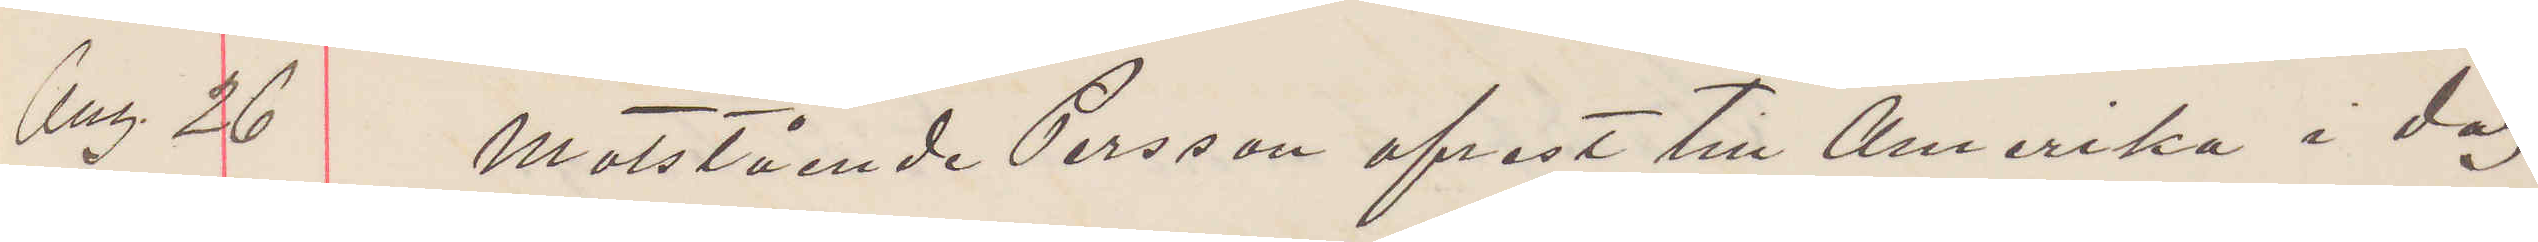Aug 26 Motstående Persson afrest till Amerika i dag
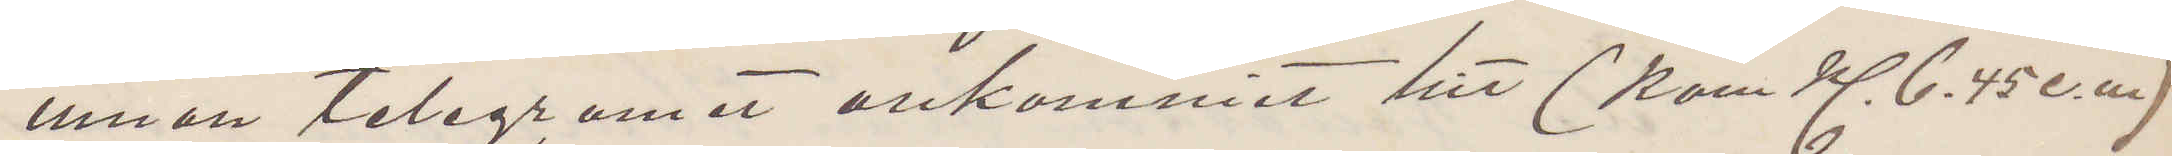innan telegramet ankommit hit (kom kl. 6.45 e.m)
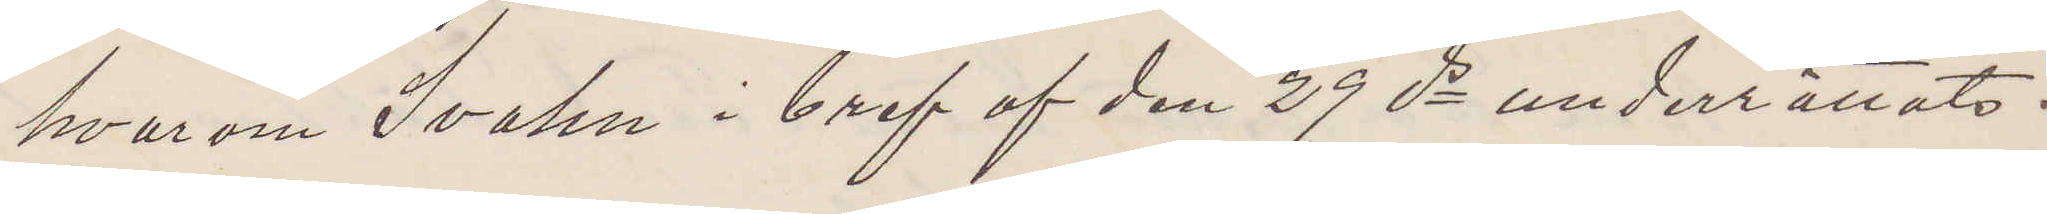hvarom Svahn i bref af den 29 ds underrättats.
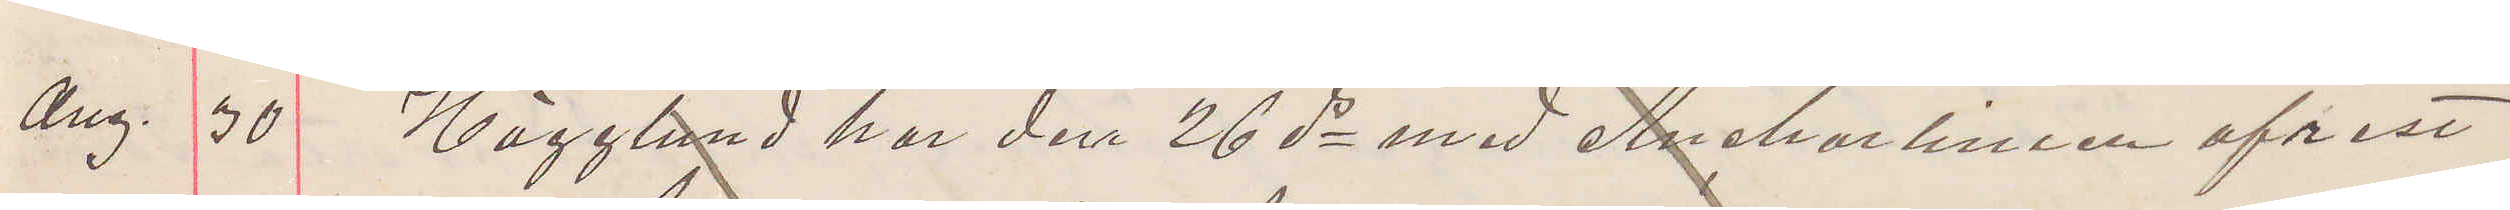Ang. 30 Hägglund har den 26 ds med Anchorlinien afrest
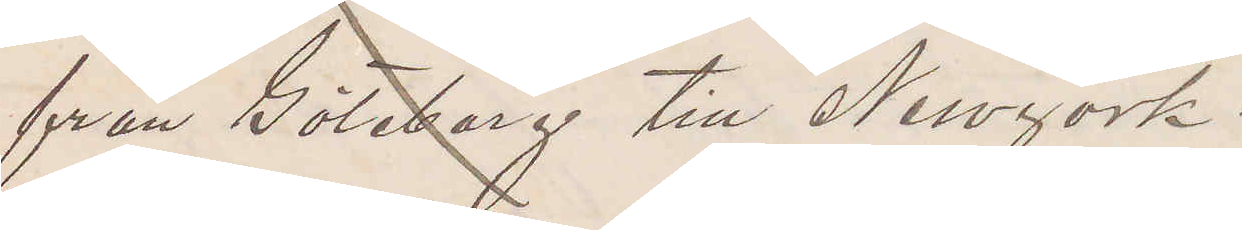från Göteborg till Newyork.
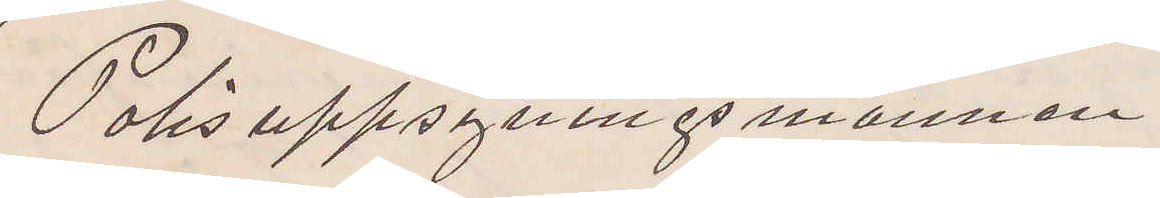Polisuppsgningsmannen
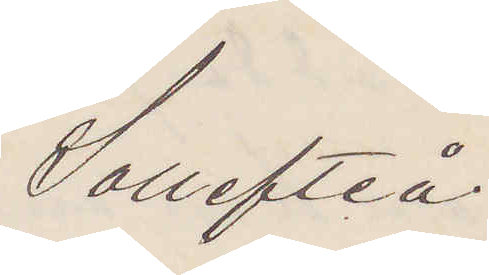Sollefteå.
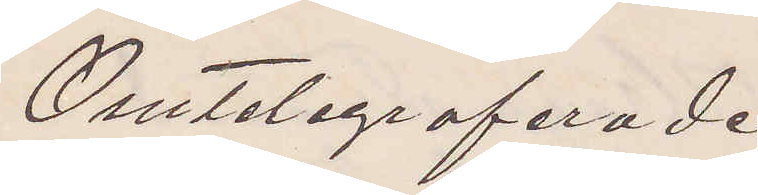Omtelegraferade
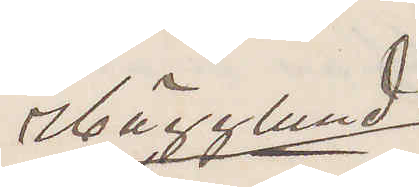Hägglund
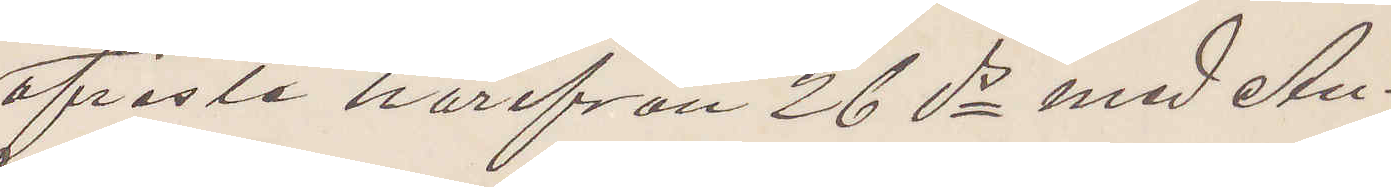afreste härifrån 26 ds med An¬
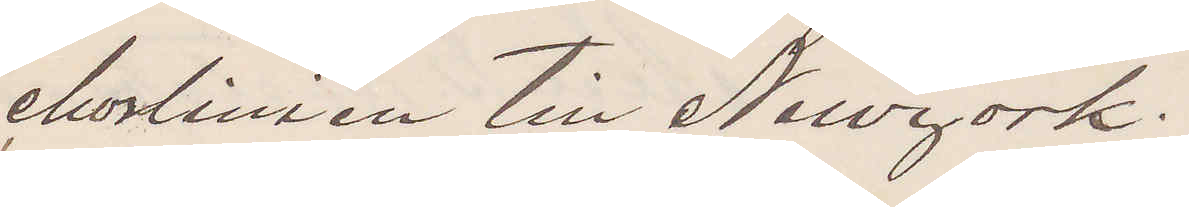chorlinien till Newyork.
